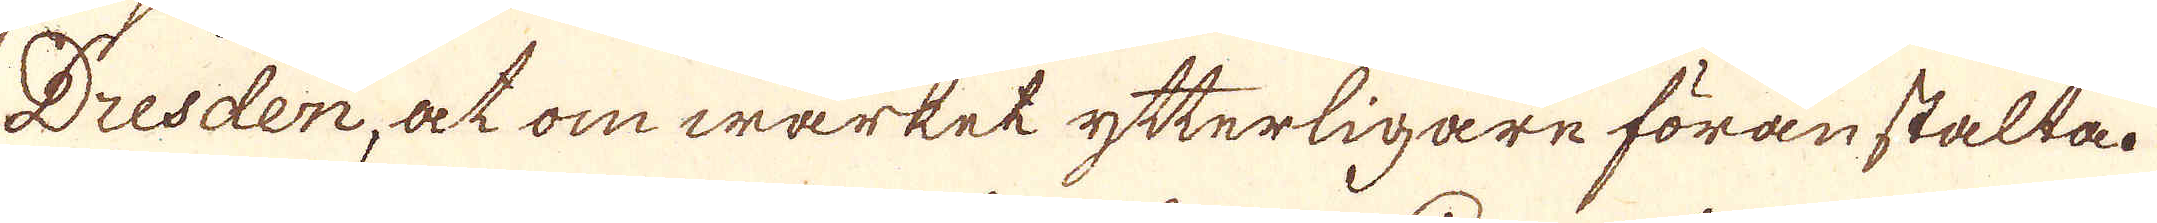Dresden, at om wärket ytterligare föranstalla.
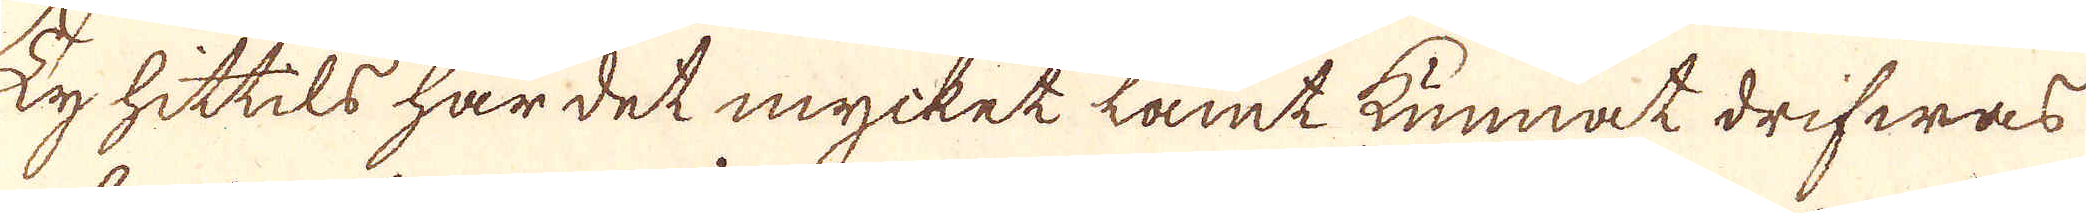Ty hittils har det mycket lamt kunnat drifwas
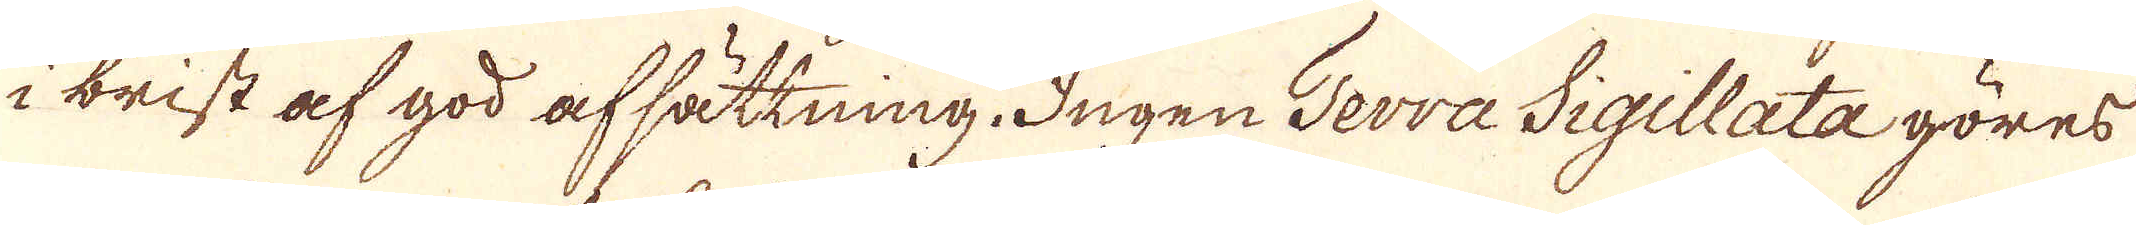i brist af god afsättning. Ingen Terra Sigillata göres
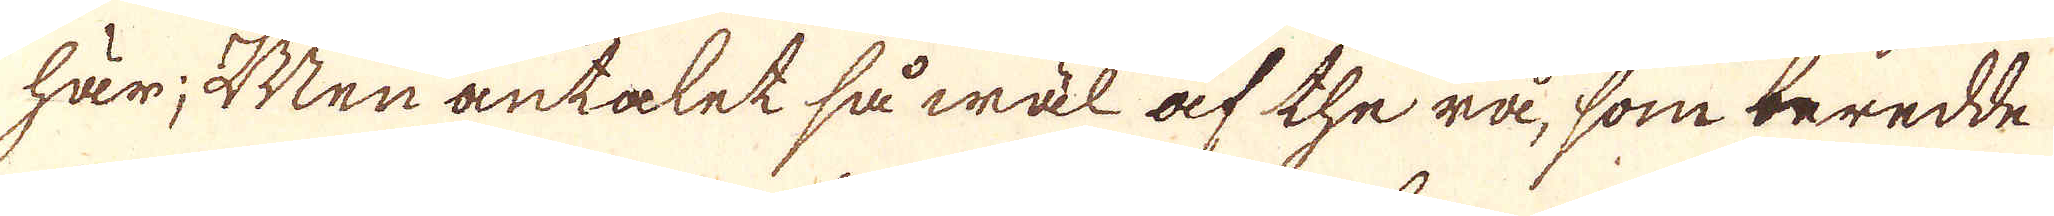här; Men antalet så wäl af the rå, som beredde
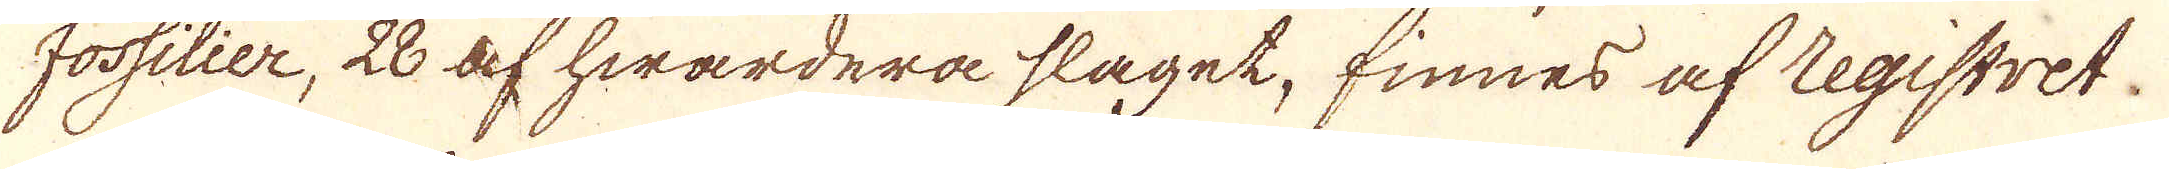fossilier, 28 af hwardera slaget, finnes af Registret.
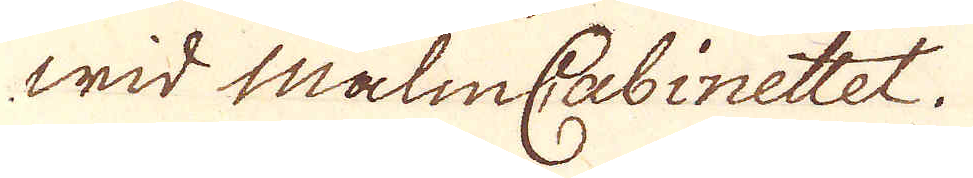wid malmCabinettet.
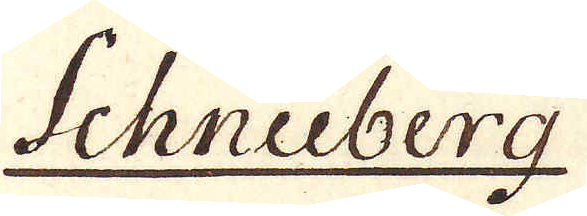Schneeberg
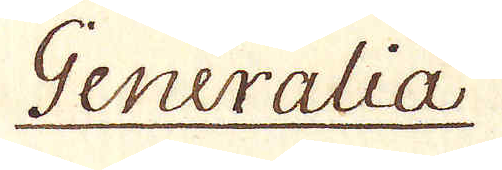Generalia
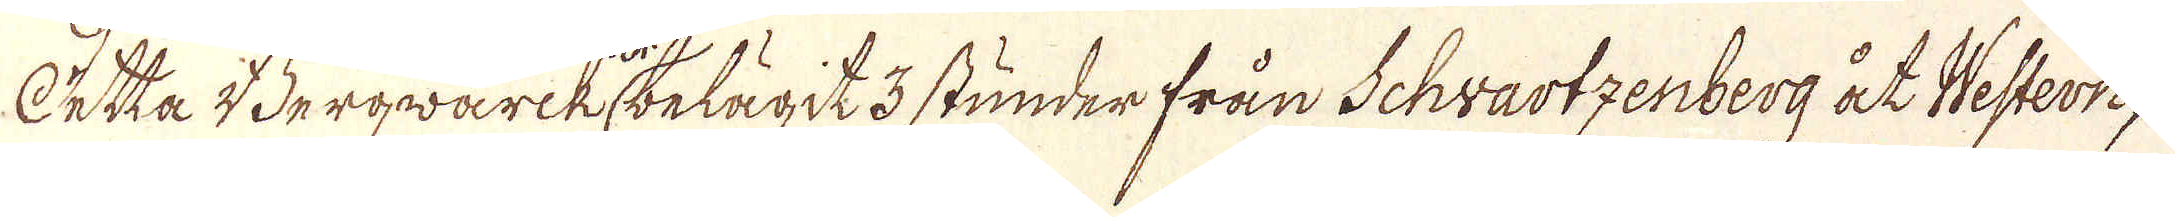Detta Bergwärk belägit 3 stunder från Schvartzenberg åt Western,
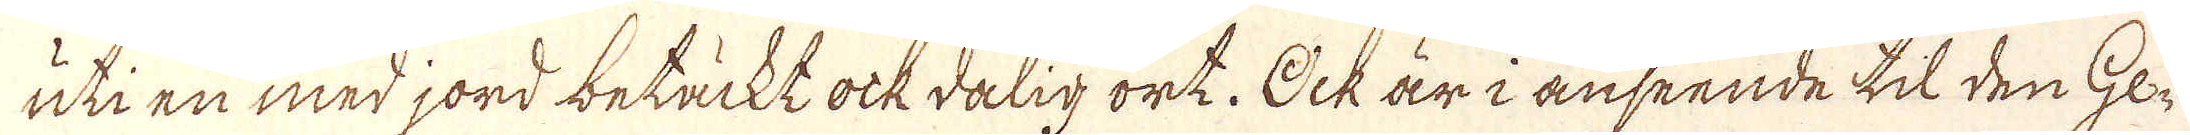uti en med jord betäckt ock dalig ort. Ock är i anseende til den Ge-
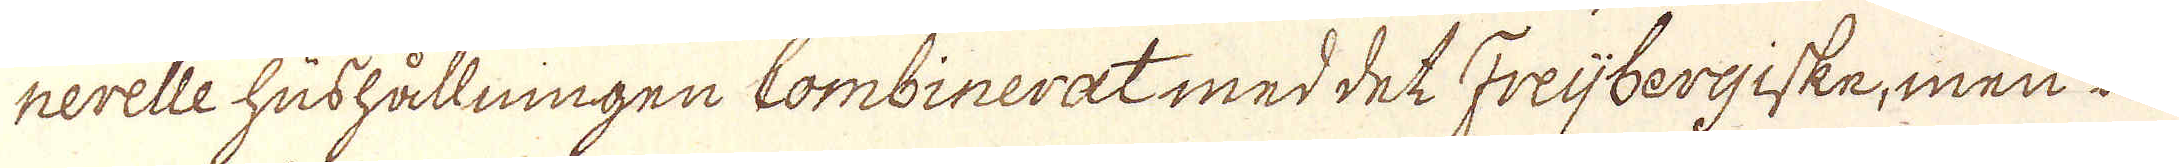nerelle hushållningen Combinerat med det Freijbergiske, men ä-
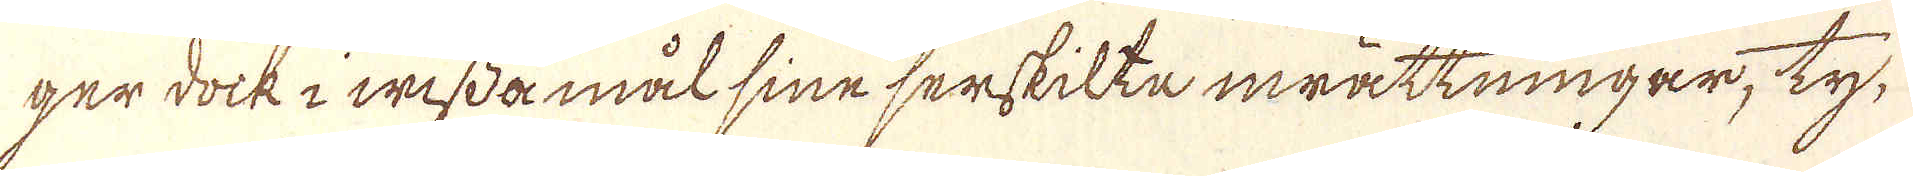ger dock i wissa mål sine serskilta inrättningar, ty,
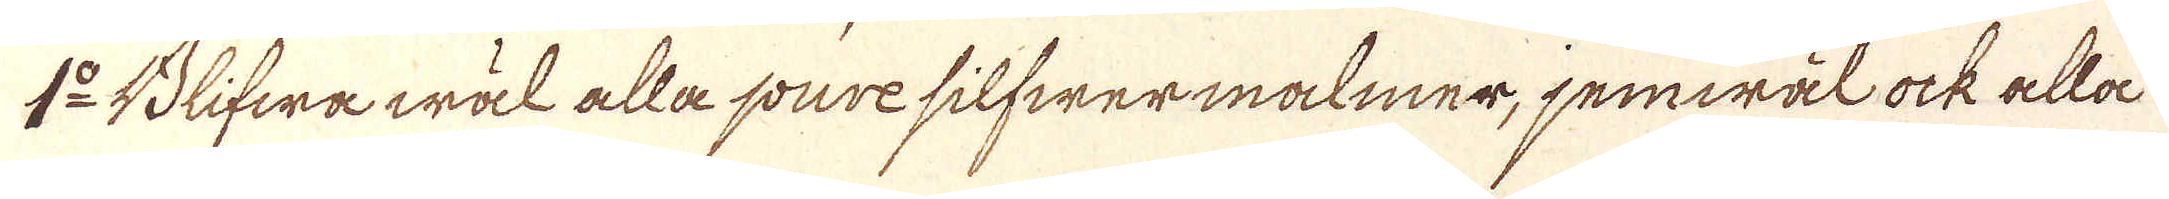1:o Blifwa wäl alla pure silfwermalmer, jemwäl ock alla
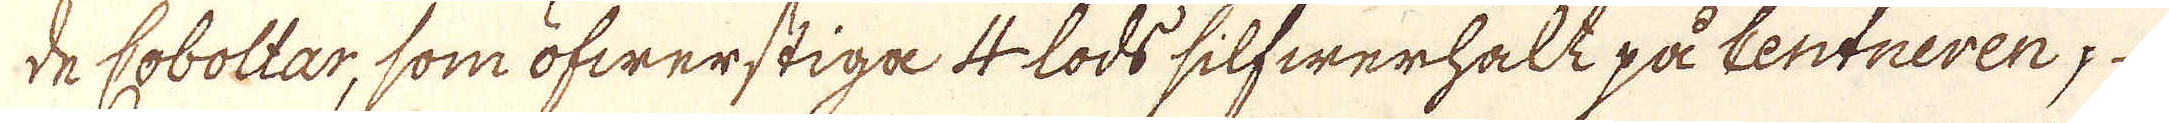de Coboltar, som öfwerstiga 4 lods silfwerhalt på Centneren,
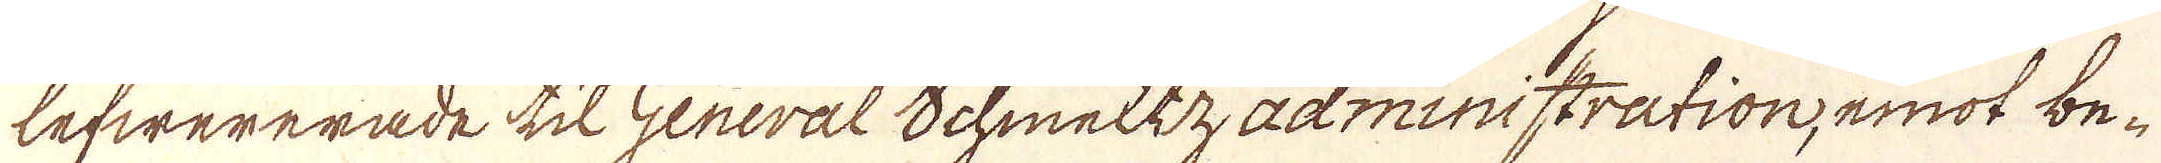lefwererade til General Schmeltzadministration, emot be-
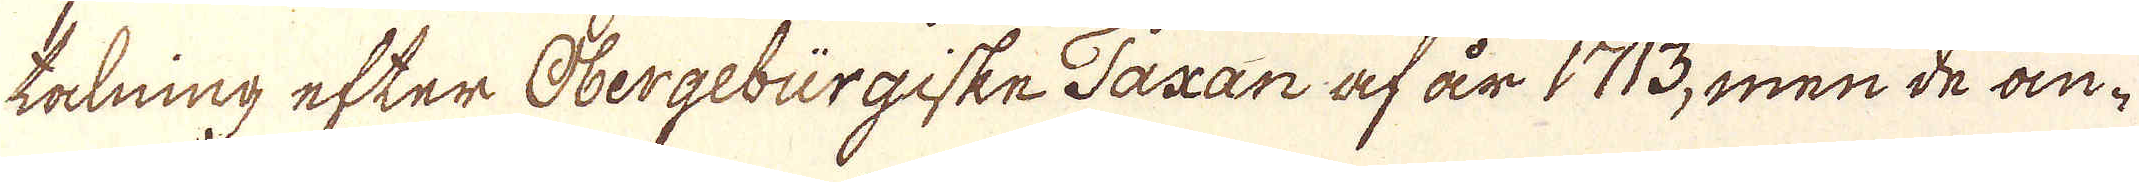takning efter Obergebürgiske Taxan af år 1713, men de an-
